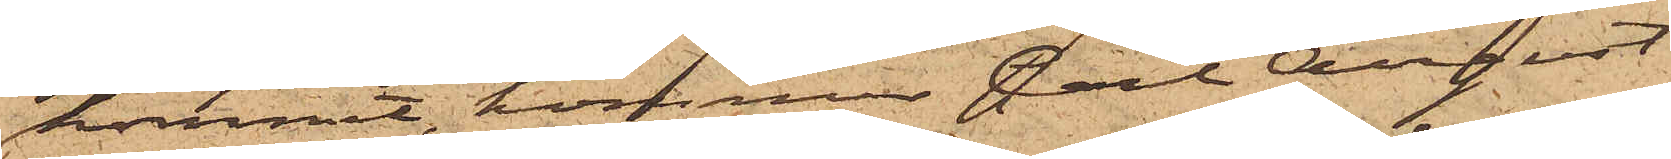kommit, kommer Carl August
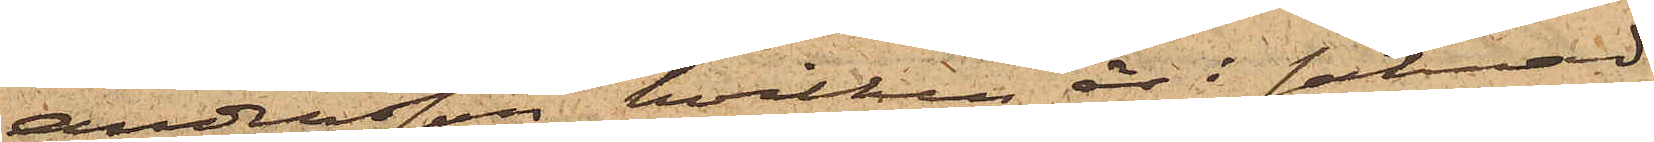Andersson, hvilken är i saknad
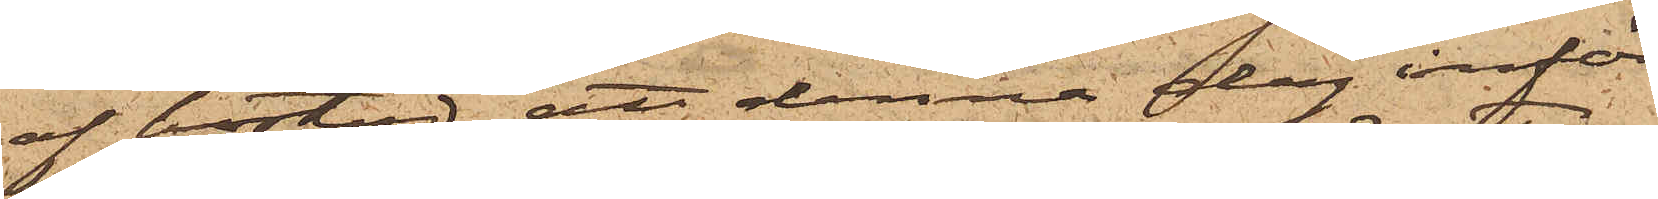af bostad, att denna dag inför
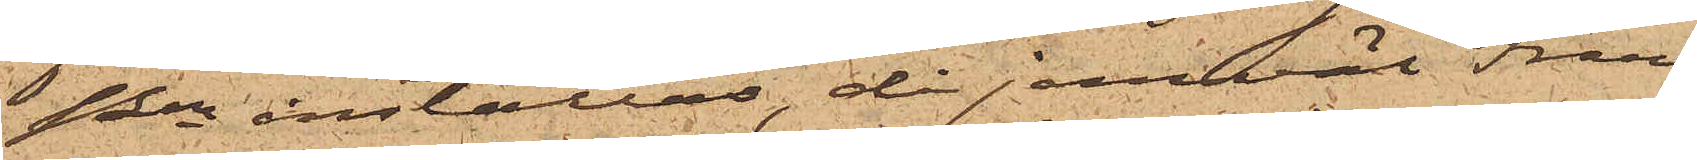Pen inställas, då jemväl Frans
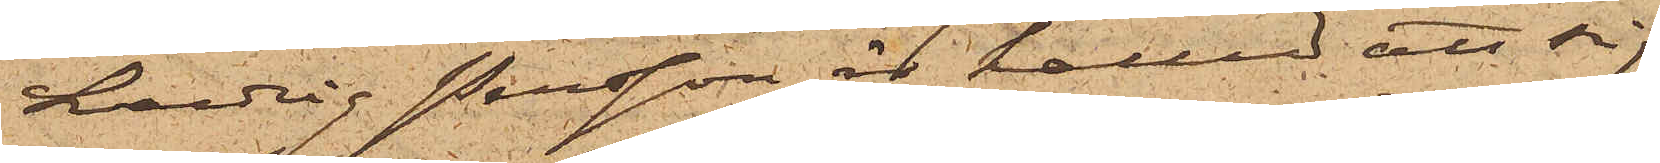Ludvig Persson är kallad att sig
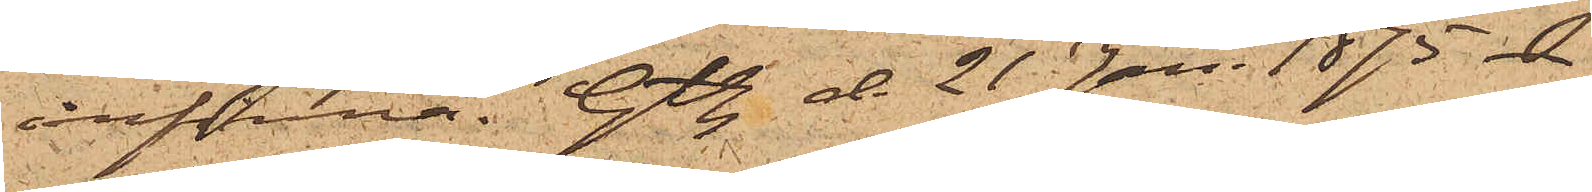infinna. Gtbg. d. 21 Jan. 1875.
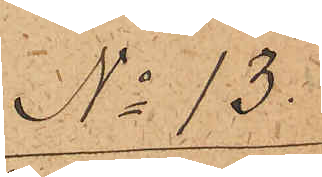No 13.
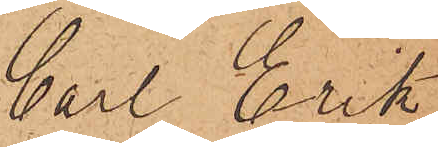Carl Erik
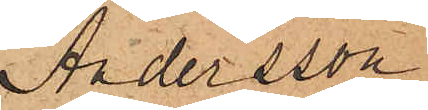Andersson.
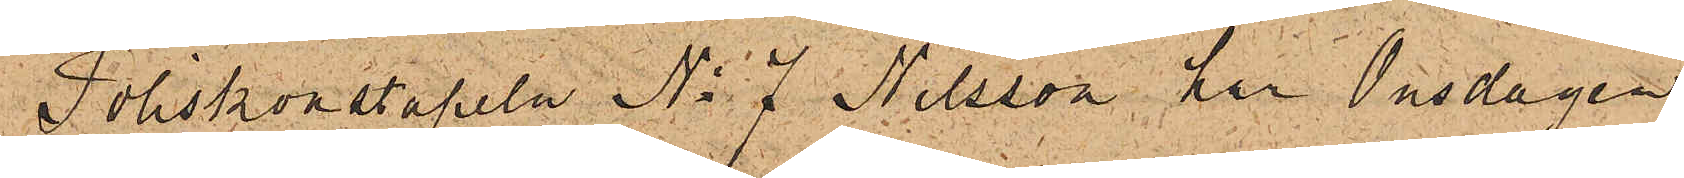Poliskonstapeln No 7 Nilsson, har Onsdagen
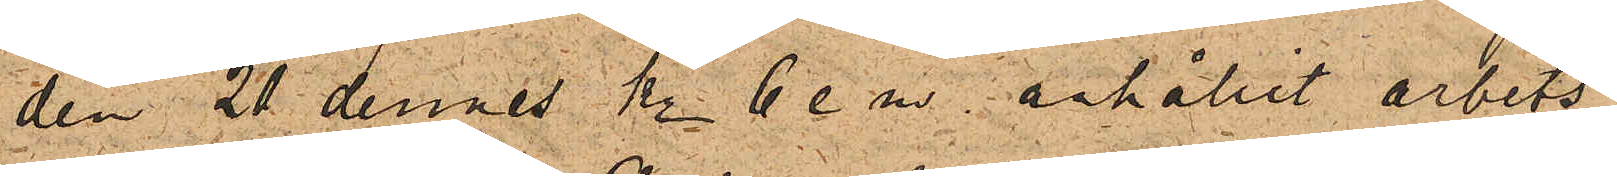den 21 dennes kl. 6 e.m. anhållit arbets¬
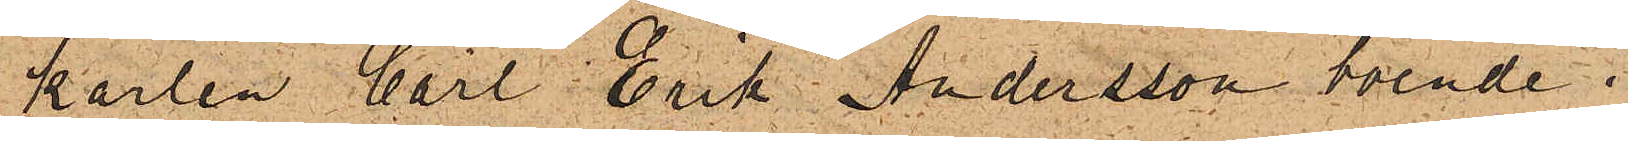karlen Carl Erik Andersson boende i
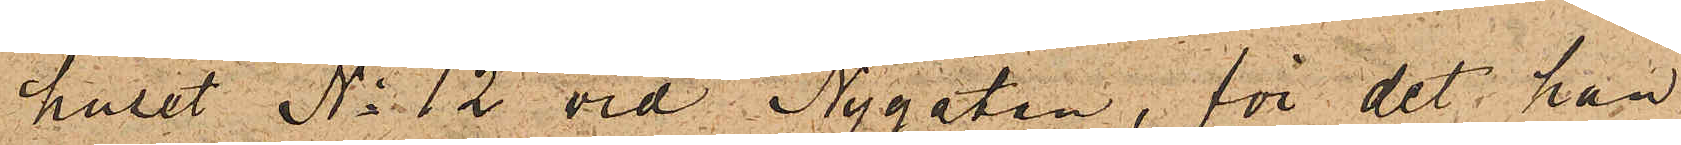huset No 12 vid Nygatan, för det han
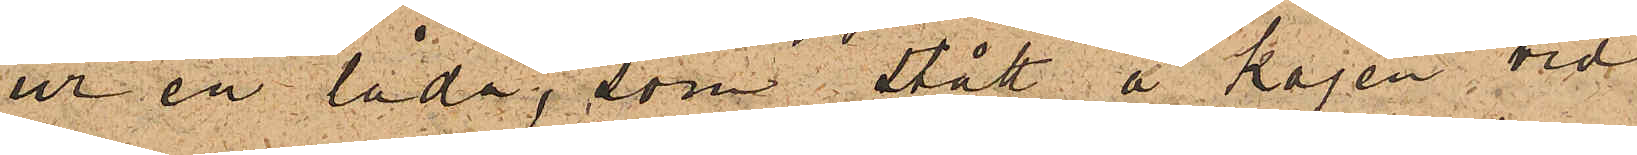ur en låda, som stått å kajen vid
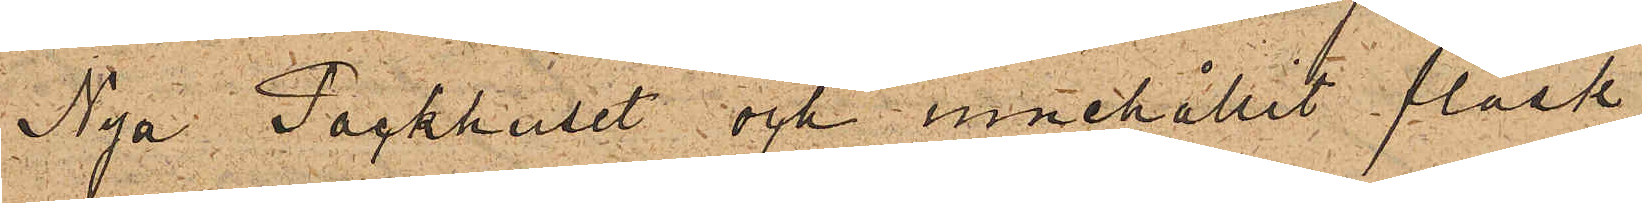Nya Packhuset och innehållit fläsk
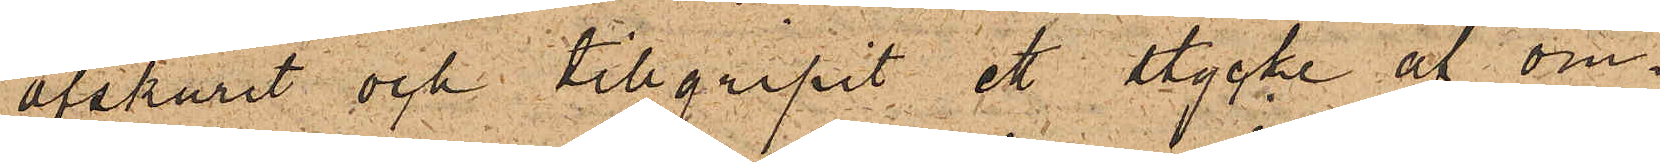afskurit och tillgripit ett stycke af om¬
